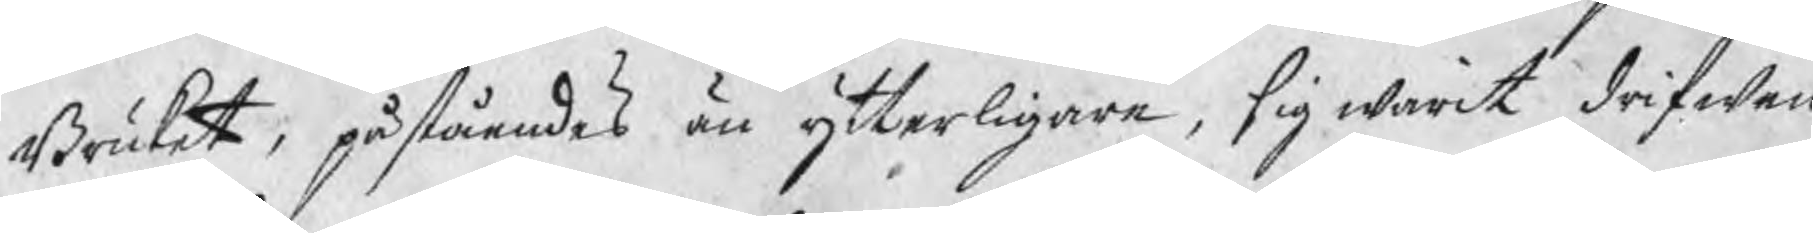Bruket, påståendes än ytterligare, sig warit drifwen
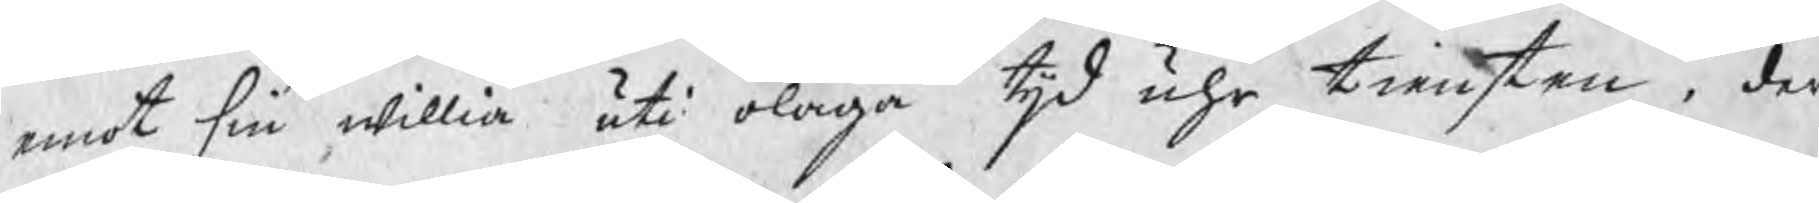emot sin willia uti olaga tijd uhr tiensten, der
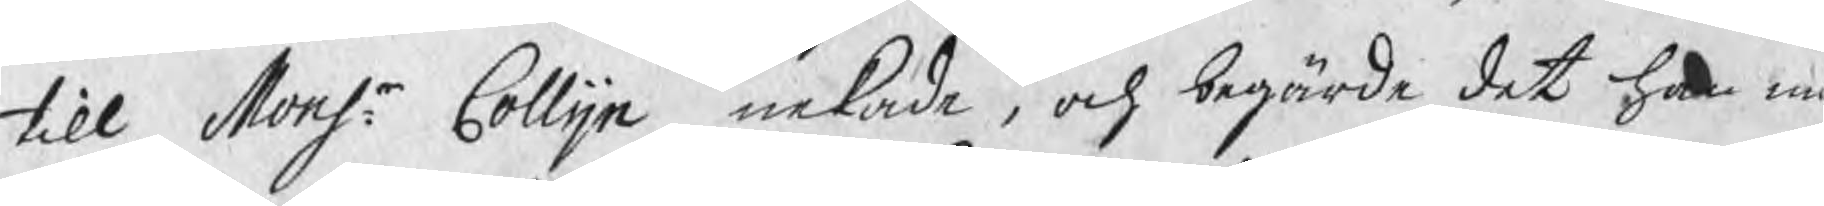till Monsr: Collijn nekade, och begärde det han må
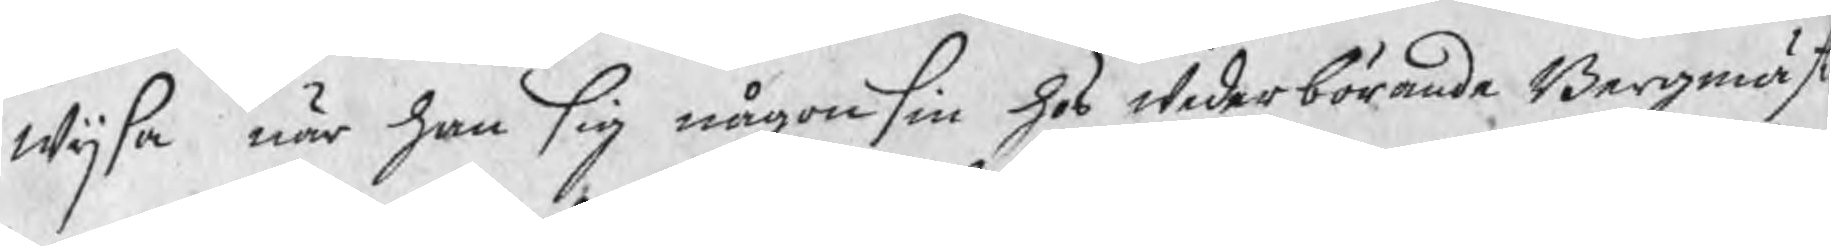wijsa när han sig någonsin hos wederbörande Bergmäst
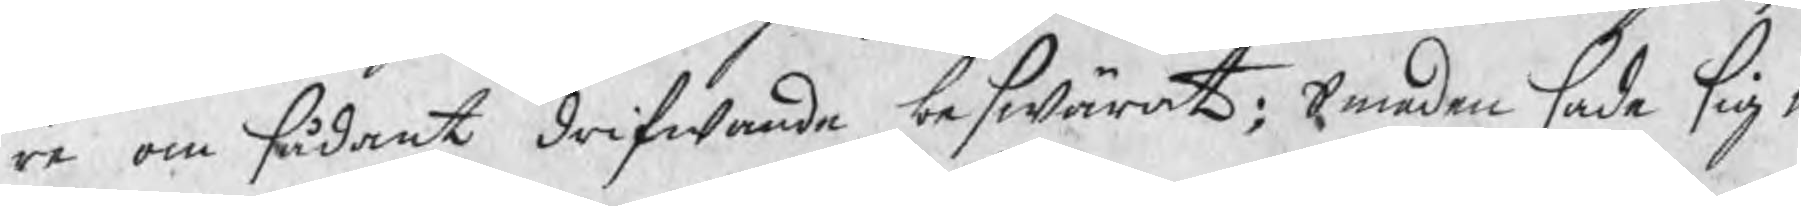reom sådant drifwande beswärat; Smeden sade sig w
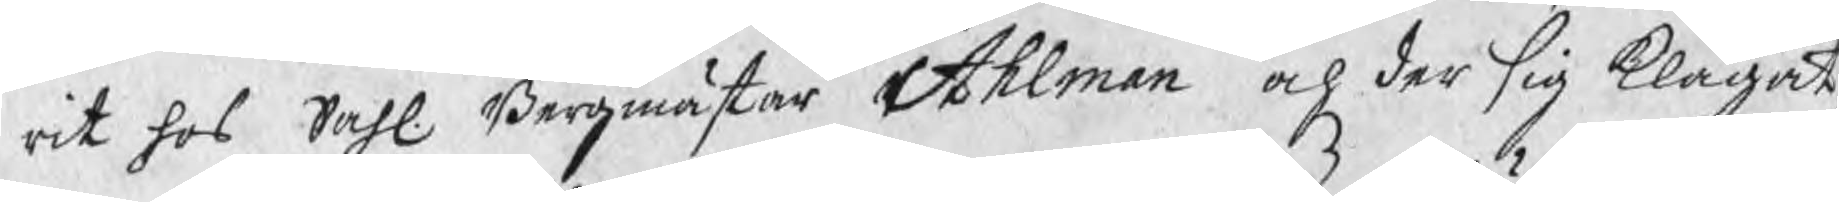rit hos Sahl. Bergmästar Ahlman och der sig klagat,
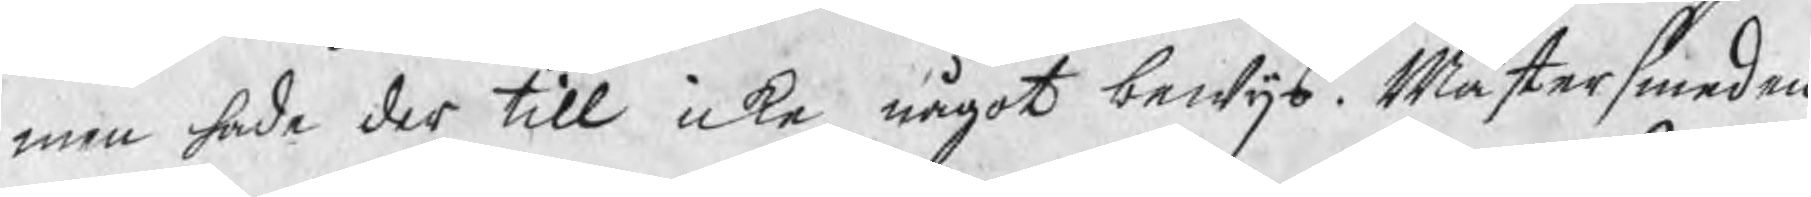men hade der till icke något bewijs. Mästersmeden
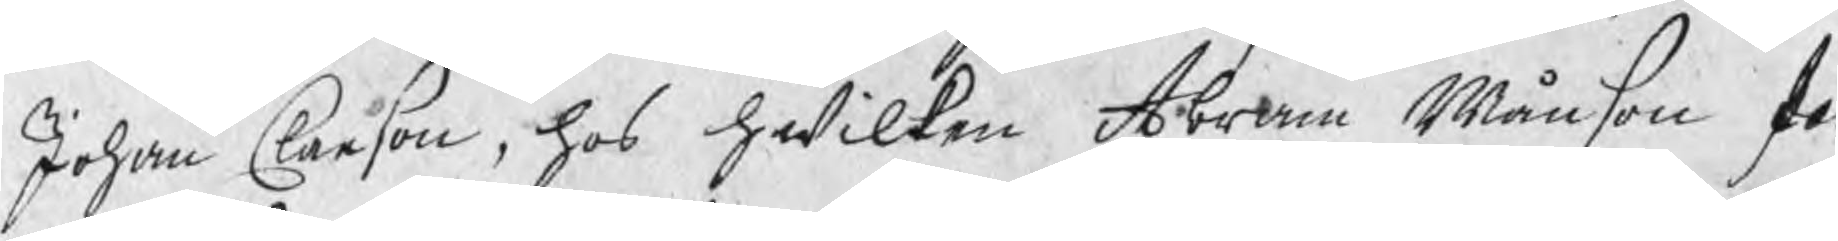Johan Claeson, hos hwilken Abram Månson fö
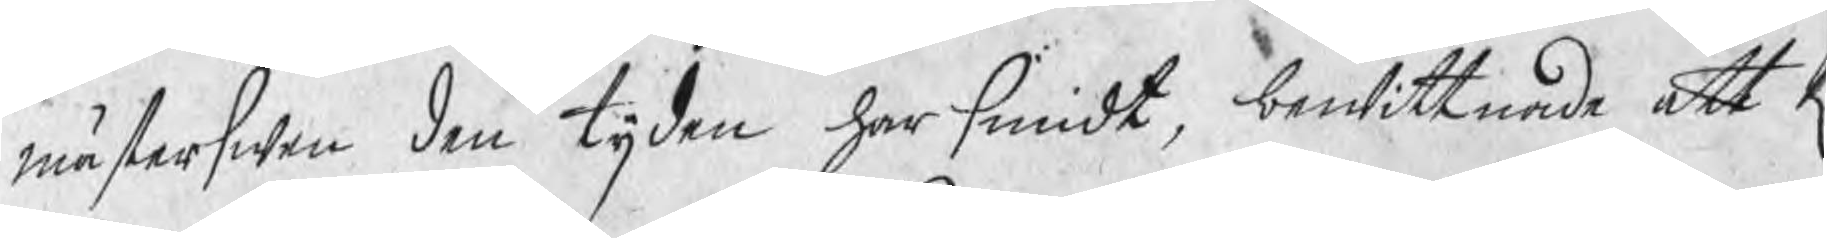mästerswen den tijden har smidt, bewittnade att R
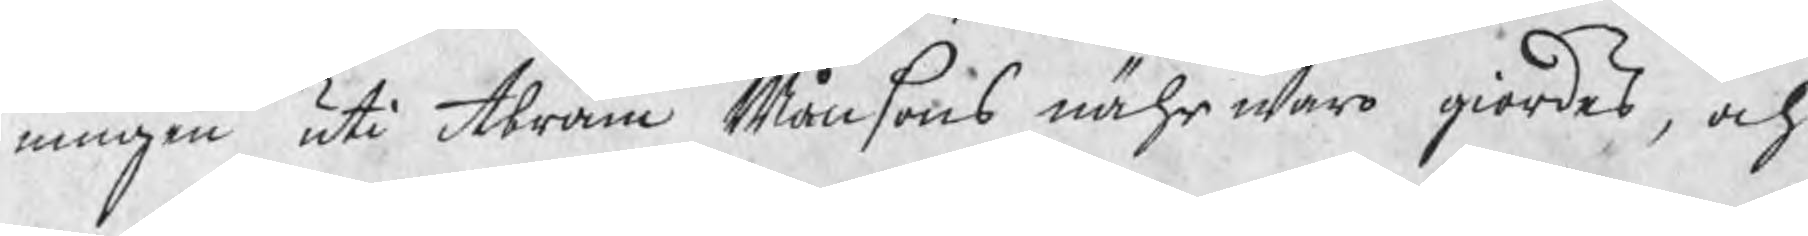ningen uti Abram Månsons nährwaro giordes, och
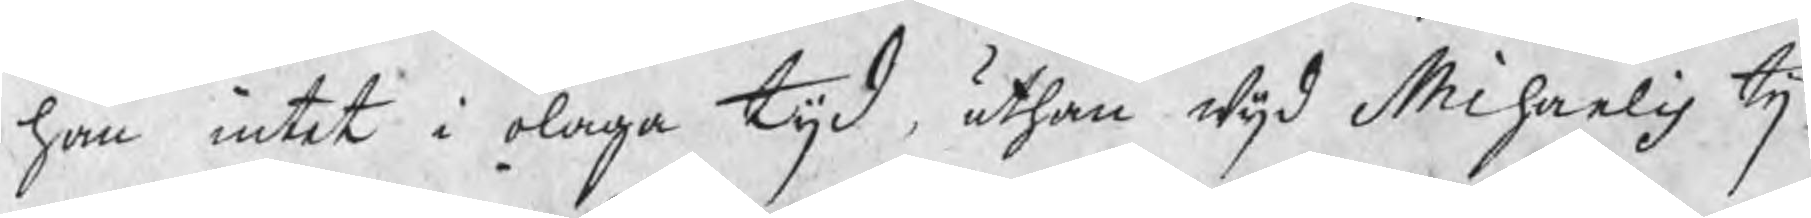han intet i olaga tijd, uthan wijd Michaelis tij
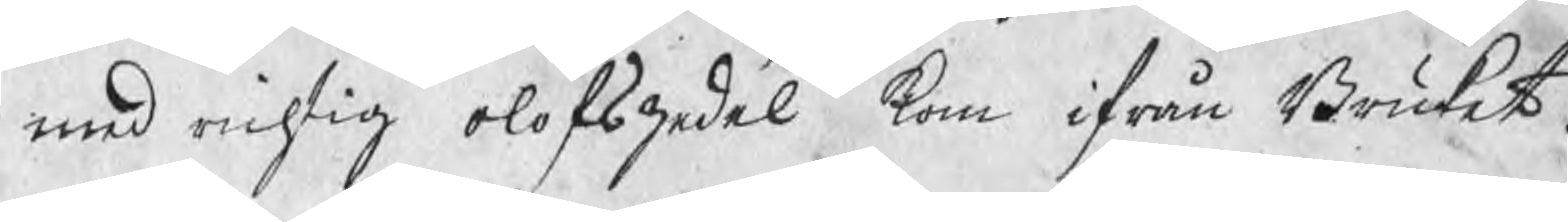med richtig olofszedel kom ifrån Bruket.
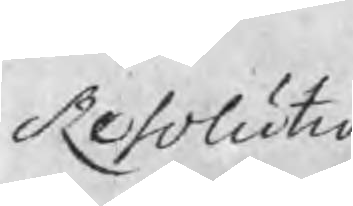Resolutio
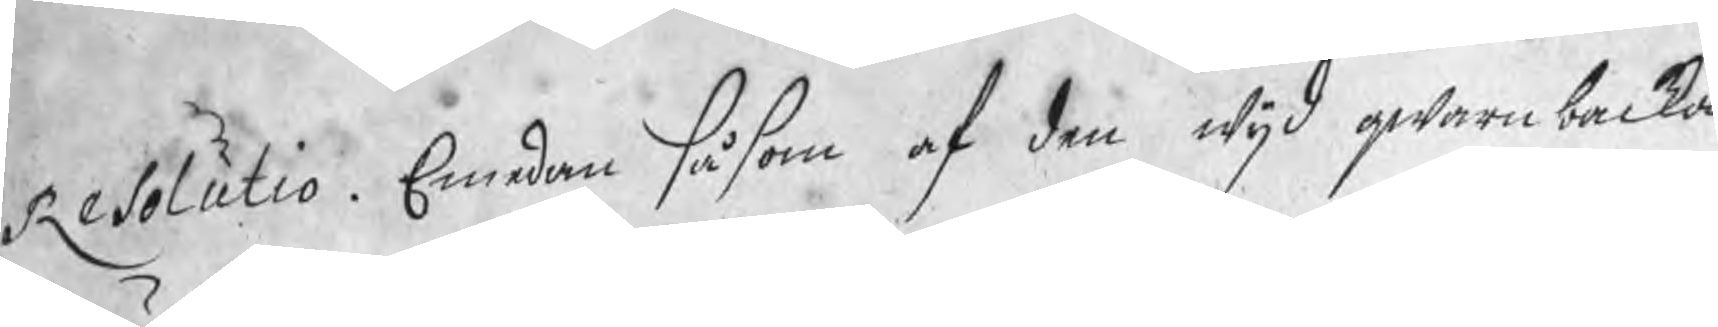Resolutio. Emedan såsom af den wijd qwarnbacka
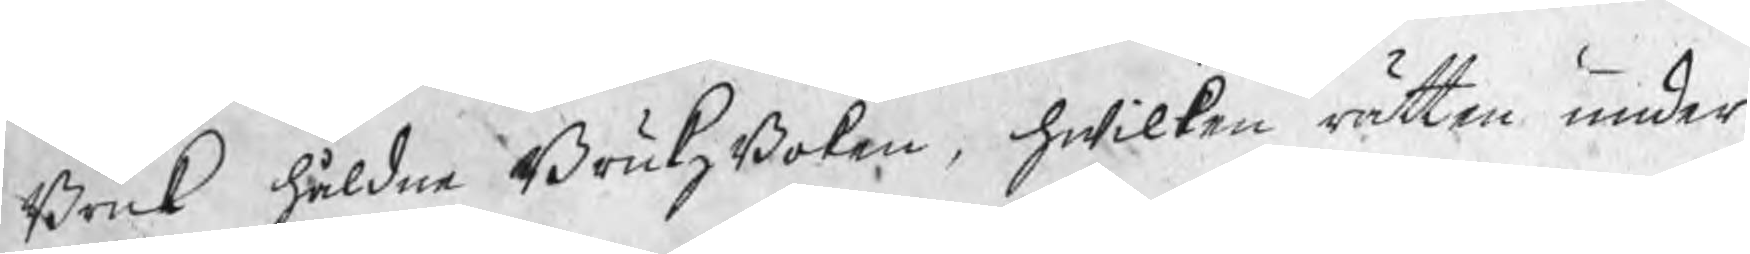Bruk håldne BrukzBoken, hwilken rätten under
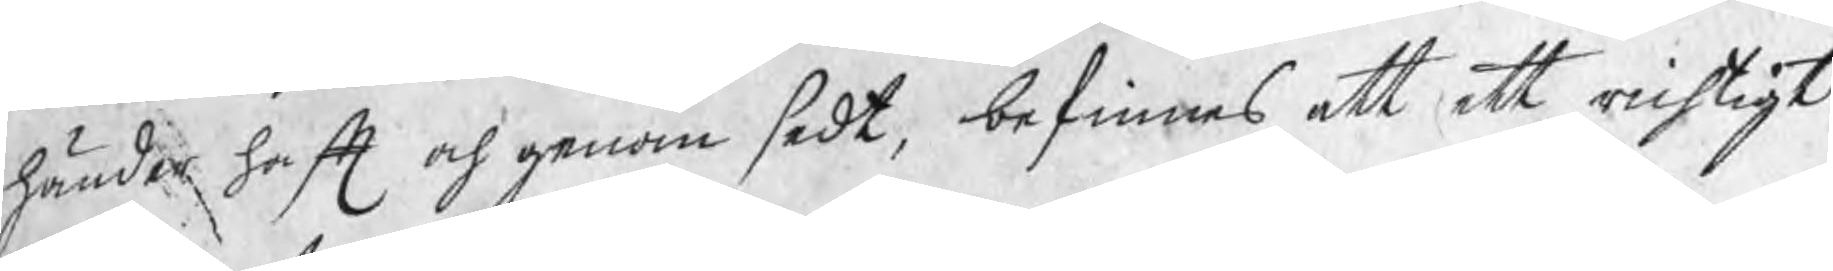händer haft och genom sedt, befinnes att ett richtigt
